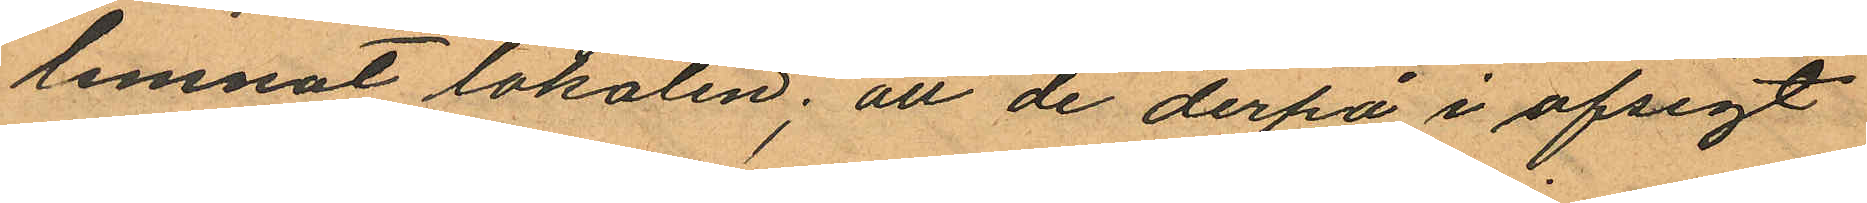lemnat lokalen; att de derpå i afsigt
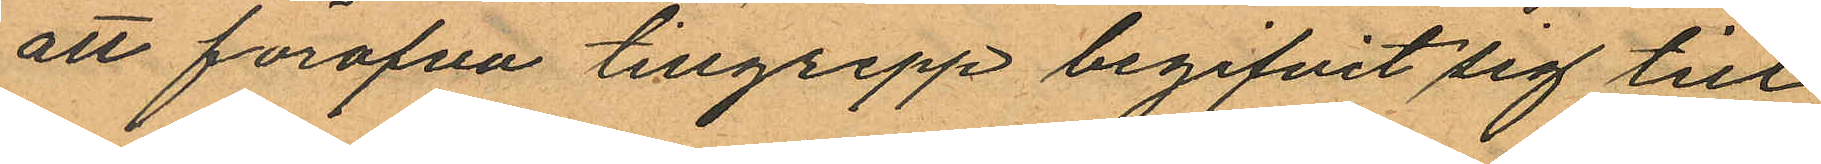att föröfva tillgrepp begifvit sig till
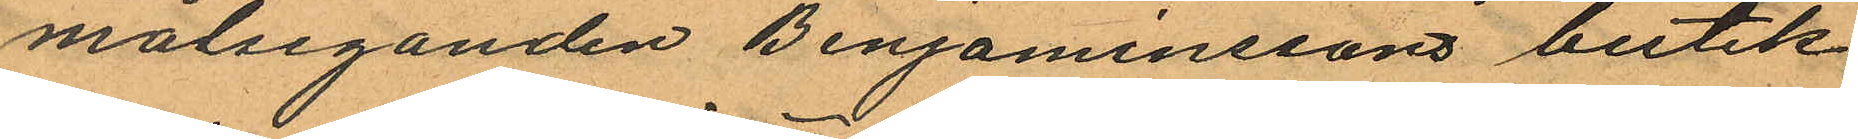målseganden Benjaminssons butik
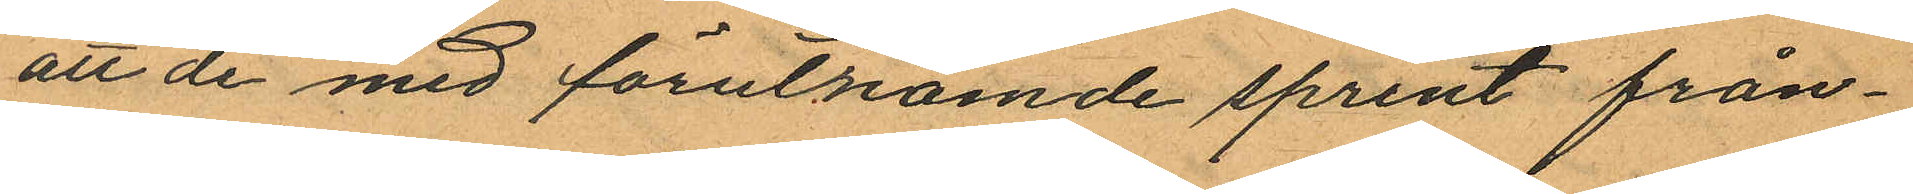att de med förutnämde sprint från¬
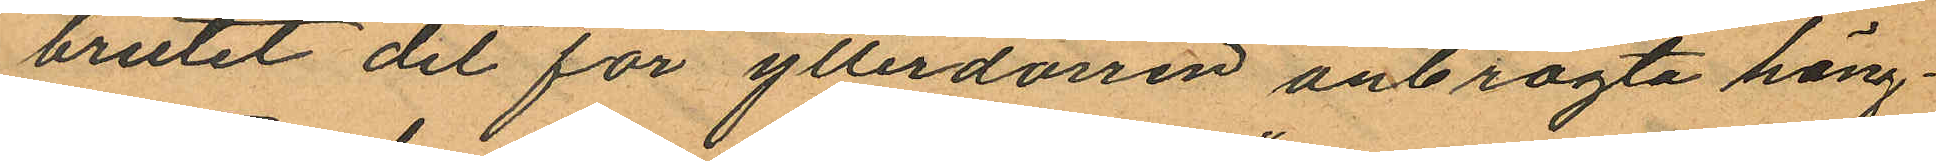brutit det för ytterdörren anbragta häng¬
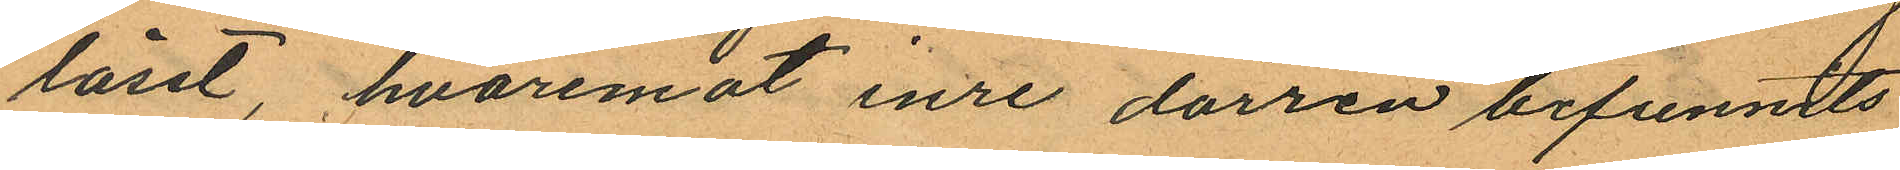låset, hvaremot inre dörren befunnits
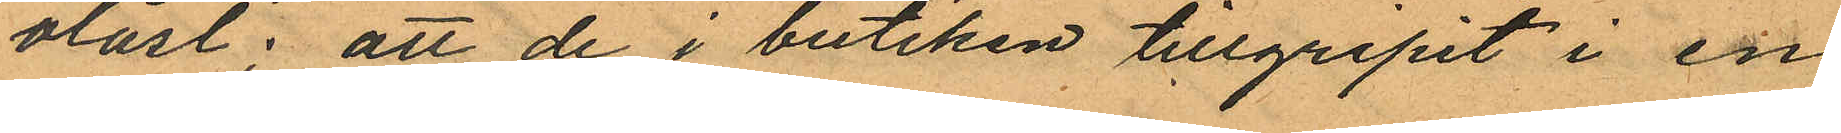olåst: att de i butiken tillgripit i en
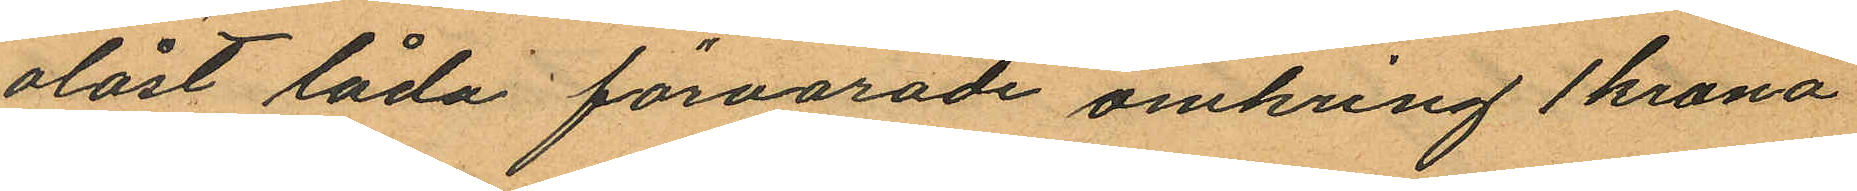olåst låda förvarade omkring 1 krona
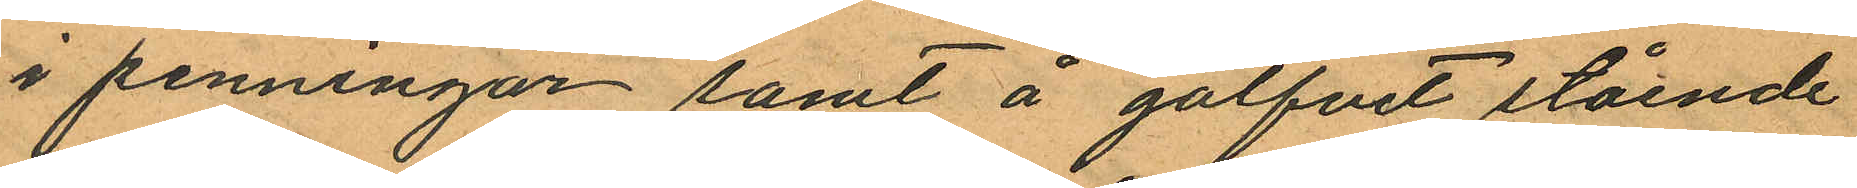i penningar samt å golfvet stående
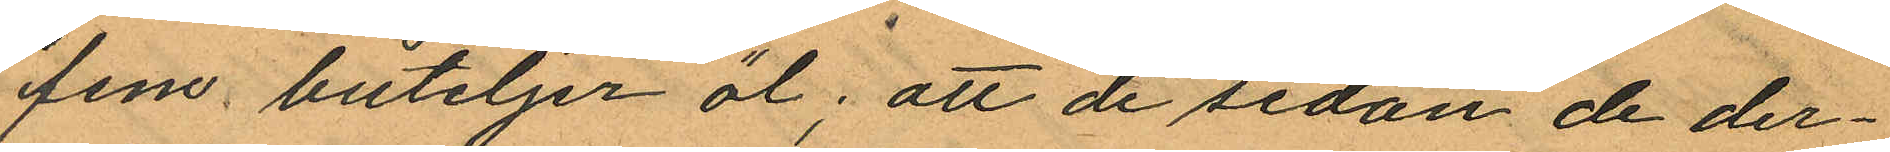fem buteljer öl; att de sedan de der¬
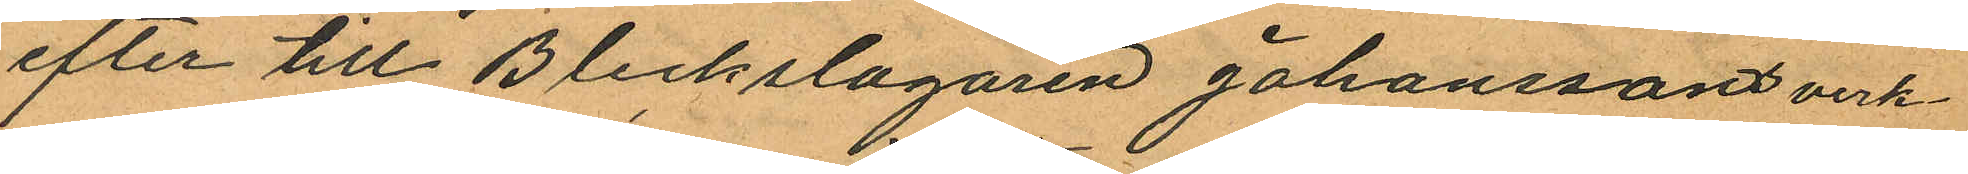efter till Bleckslagaren Johanssons verk¬
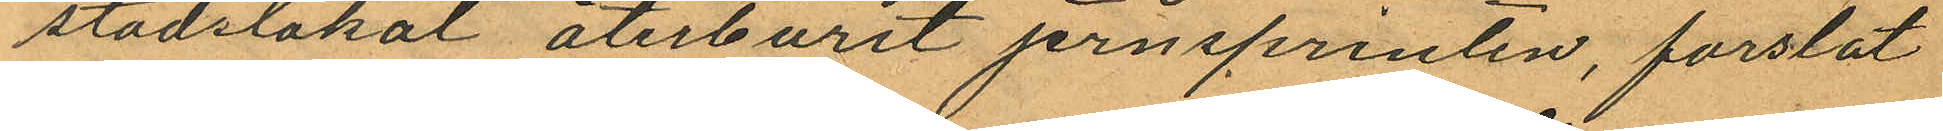stadslokal återburit jernsprinten, forslat
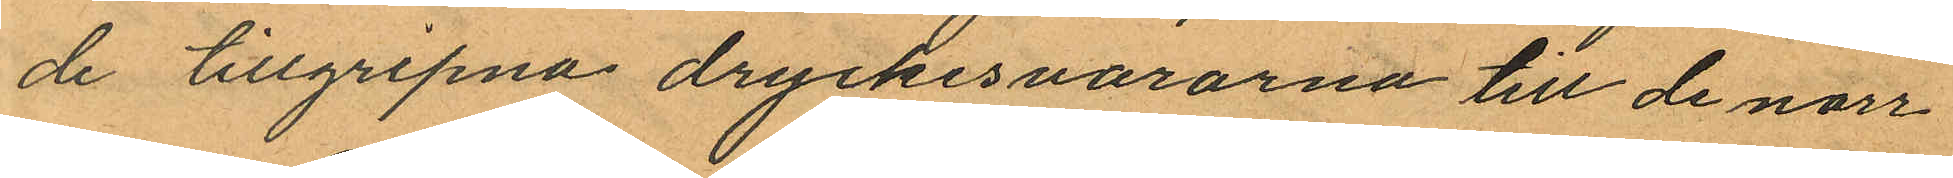de tillgripna dryckesvarorna till de norr
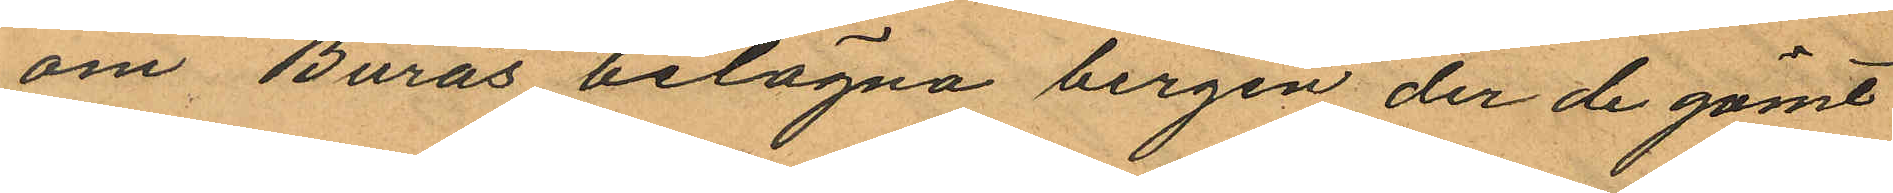om Burås belägna bergen der de gömt
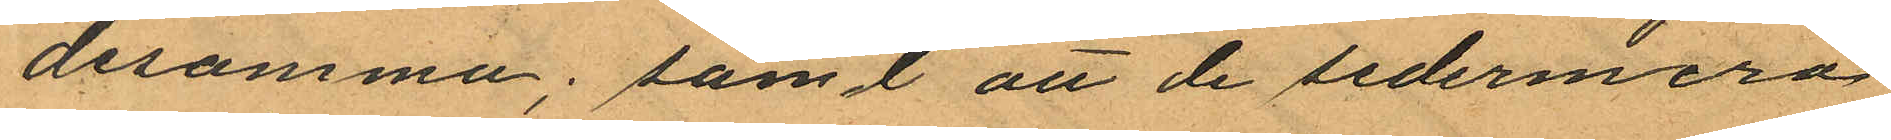desamma; samt att de sedermera
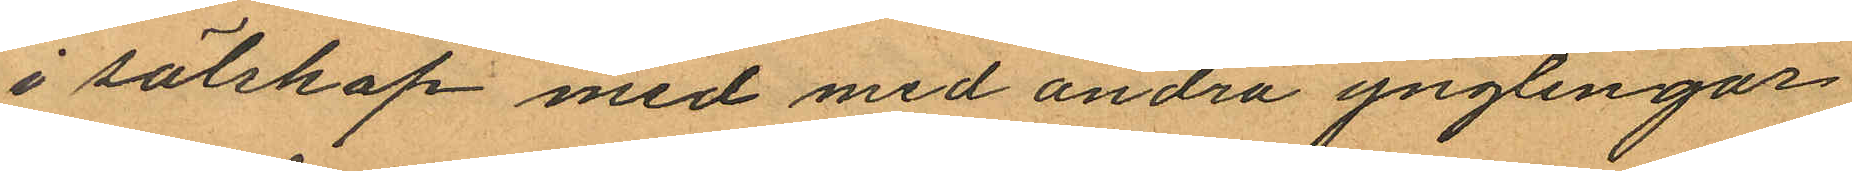i sälskap med med andra ynglingar
